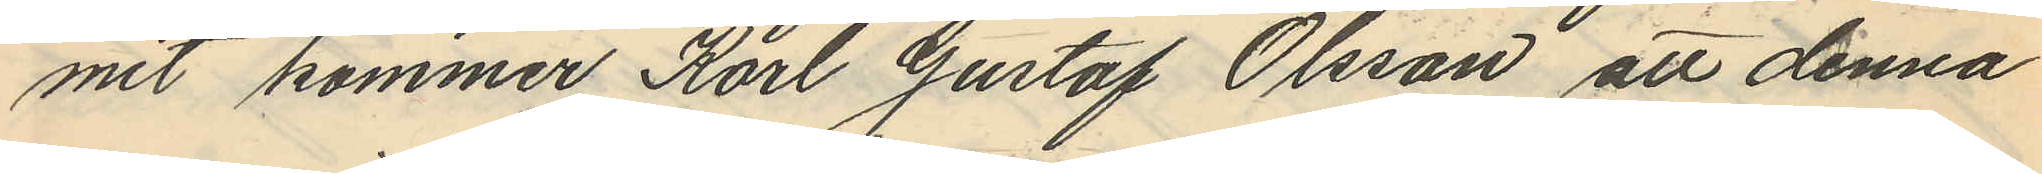mit kommer Karl Gustaf Olsson att denna
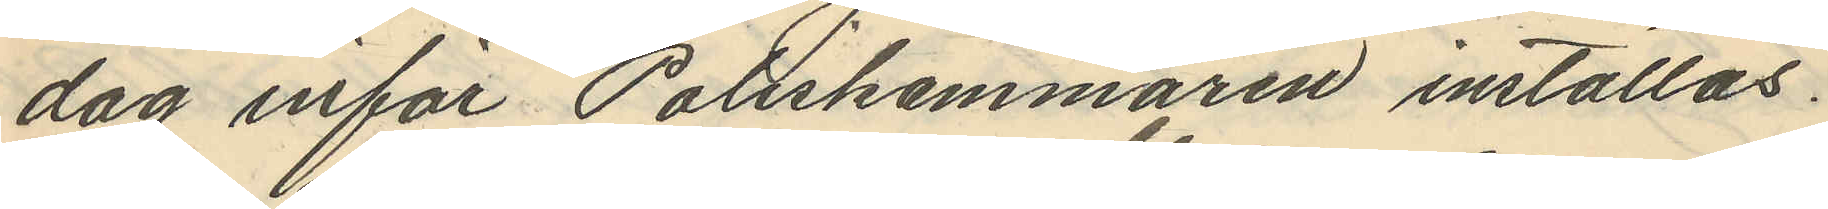dag inför Poliskammaren inställas.
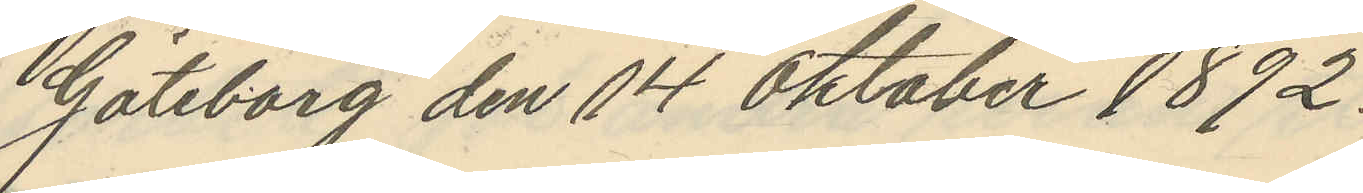Göteborg den 14 Oktober 1892.
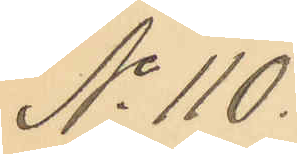No 110.
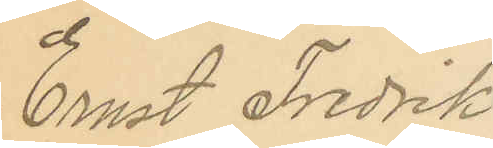Ernst Fredrik
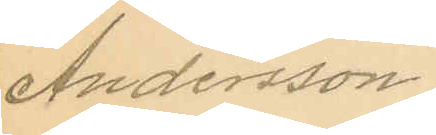Andersson.
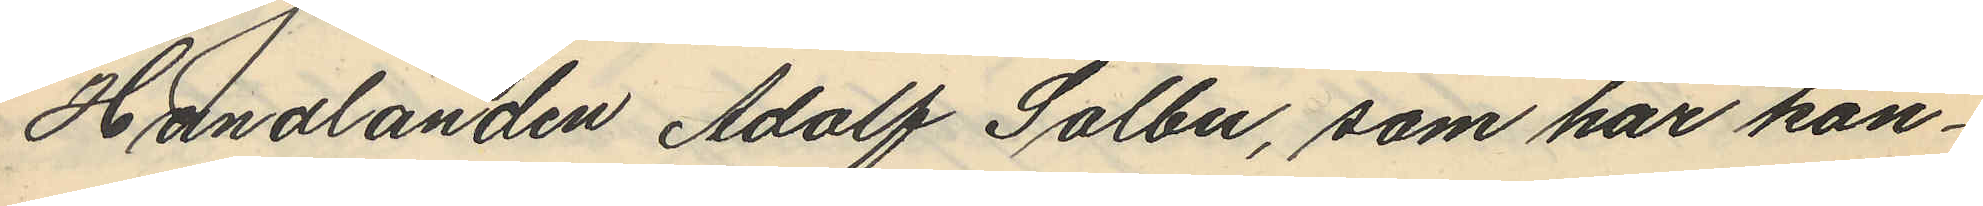Handlanden Adolf Solbu, som har kon¬
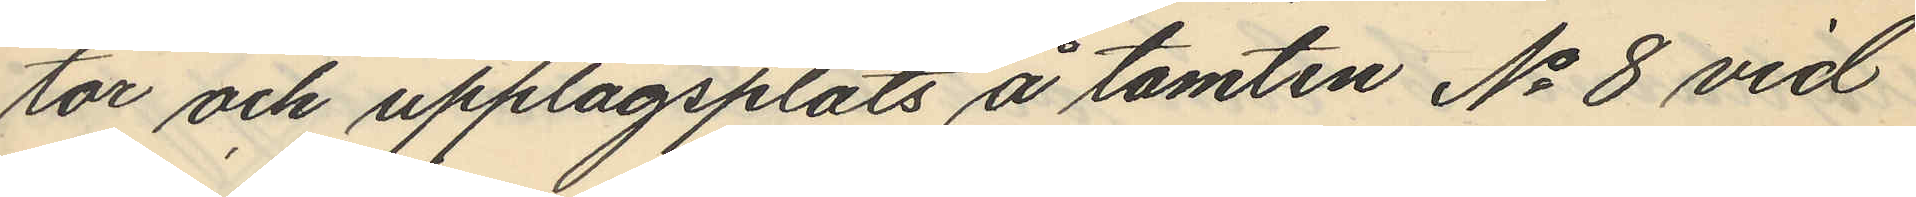tor och upplagsplats å tomten No 8 vid
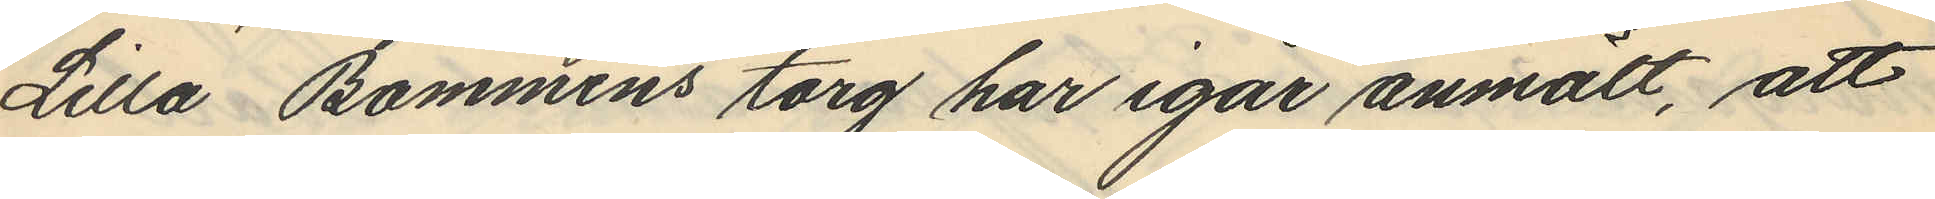Lilla Bommens torg har igår anmält, att
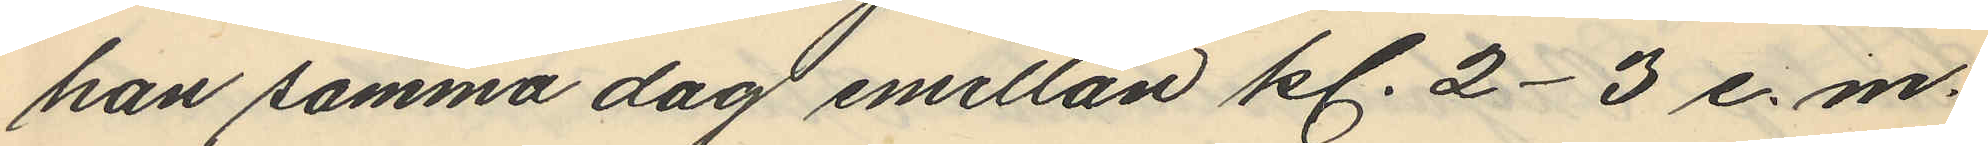han samma dag emellan kl. 2-3 e. m.
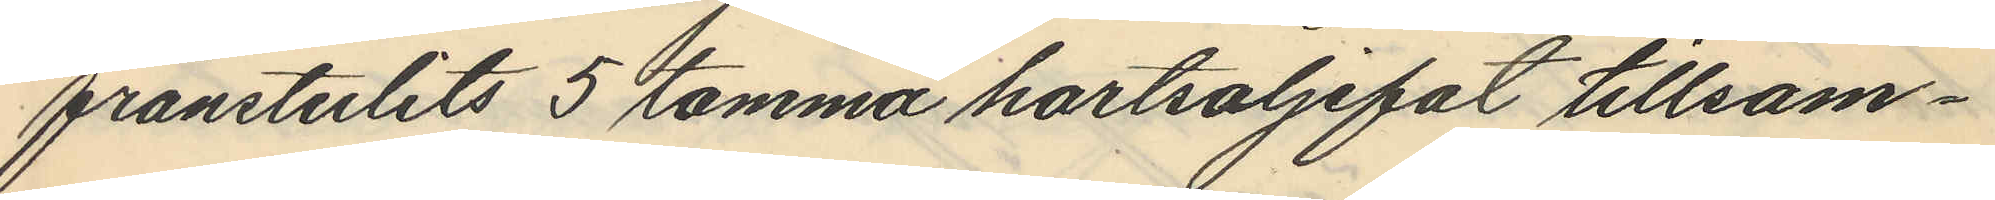frånstulits 5 tomma hartsoljefat tillsam¬
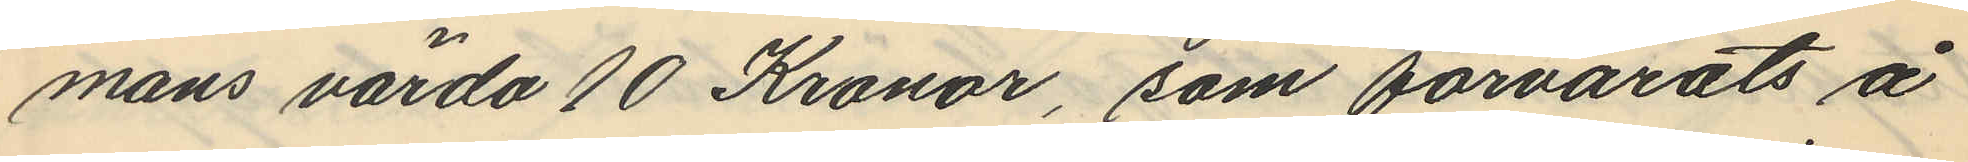mans värda 10 Kronor, som förvarats å
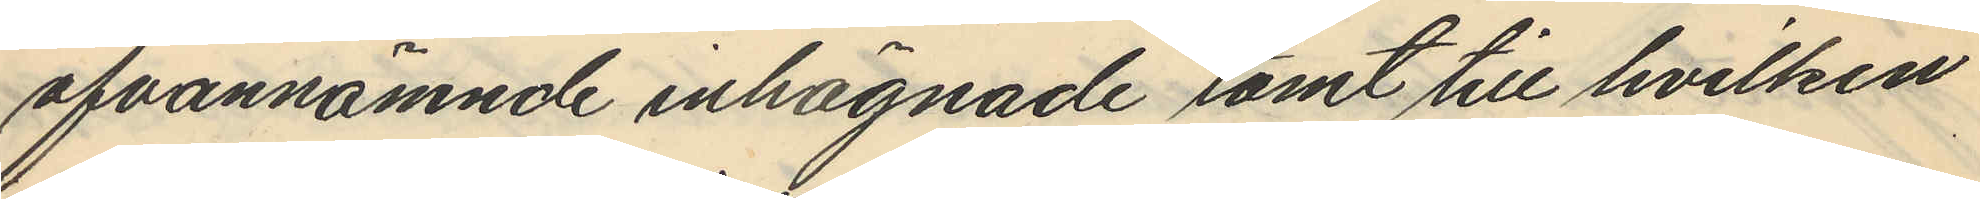ofvannämnde inhägnade tomt till hvilken
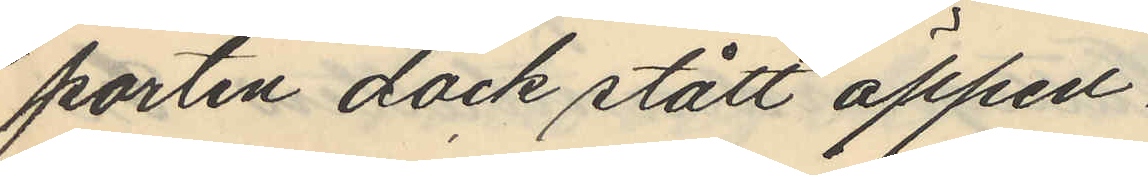porten dock stått öppen.
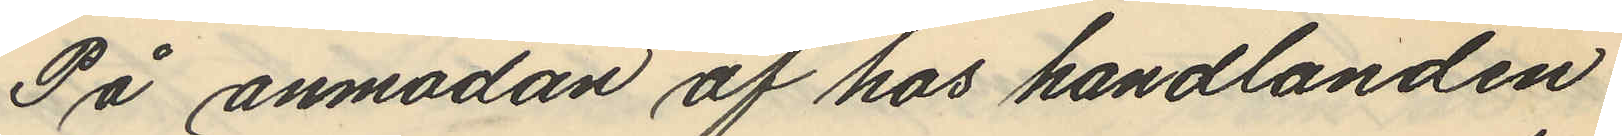På anmodan af hos handlanden
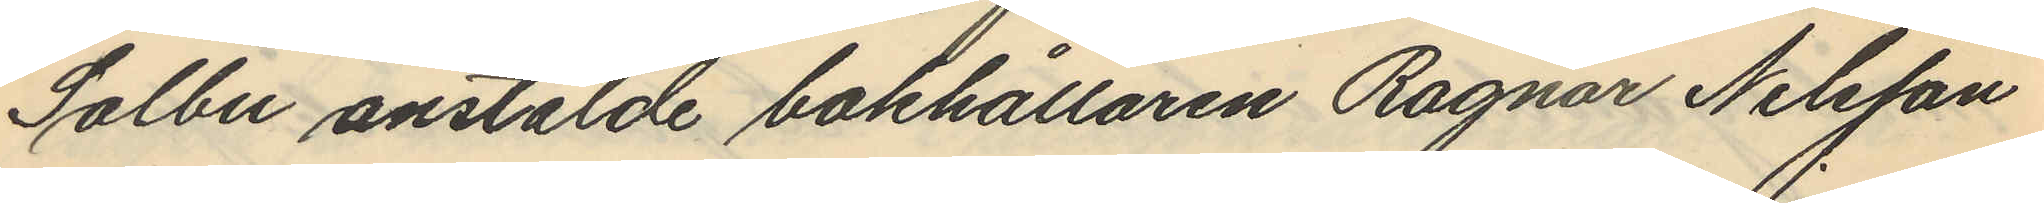Solbu anstälde bokhållaren Ragnar Nilsson
